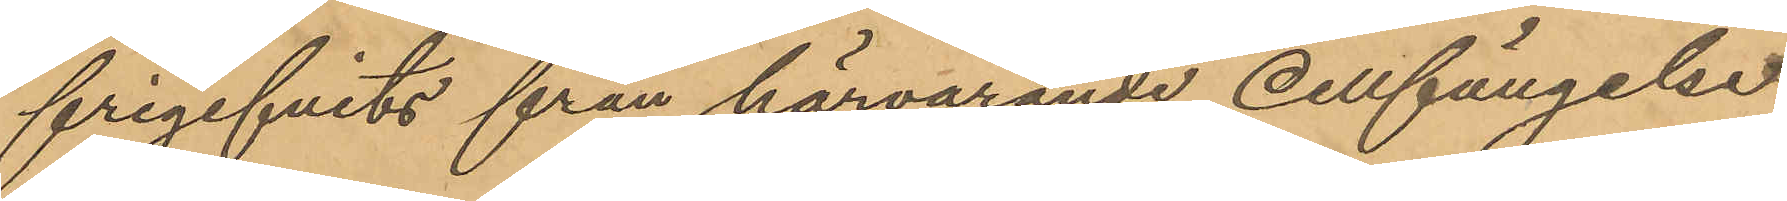frigifvits från härvarande cellfängelse
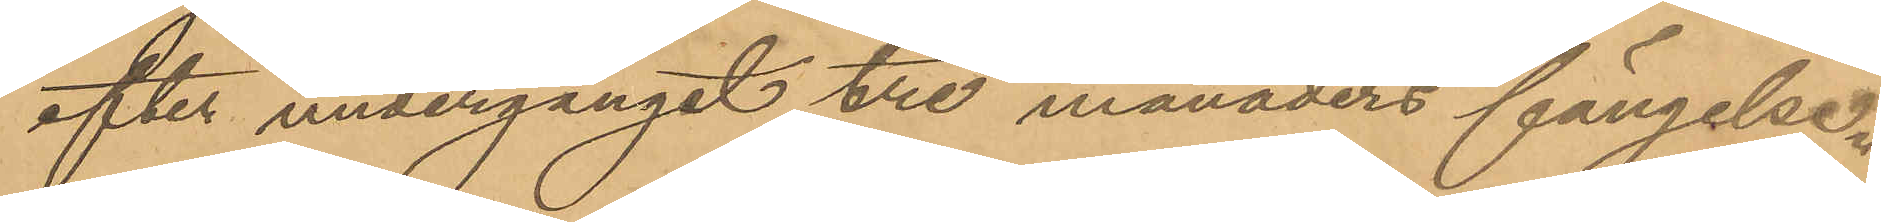efter undergånget tre månaders fängelse,
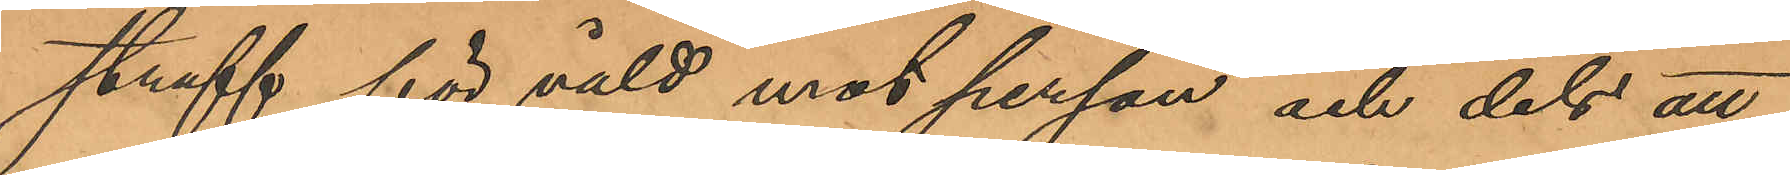straff för våld mot person och dels att
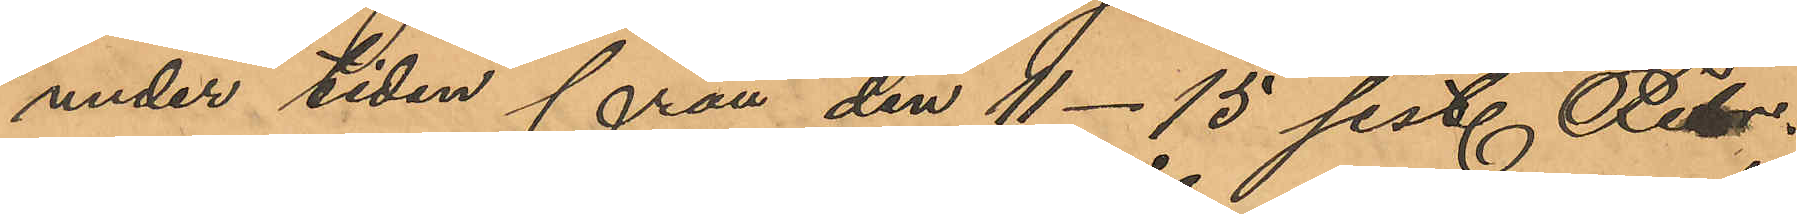under tiden från den 11-15 sist. Febr.
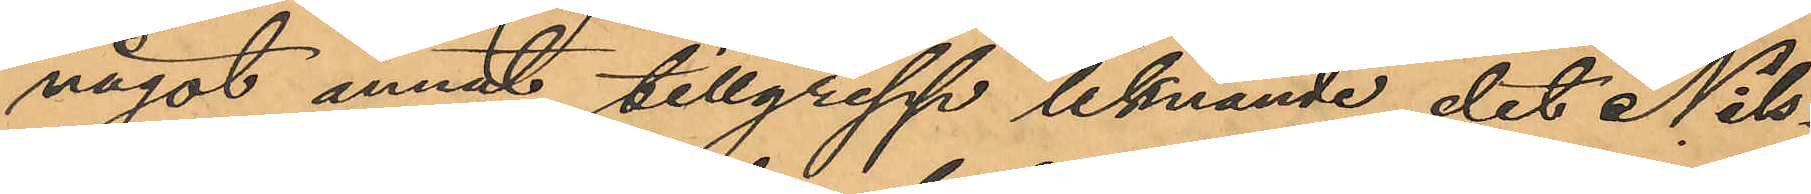något annat tillgrepp liknande det Nils¬
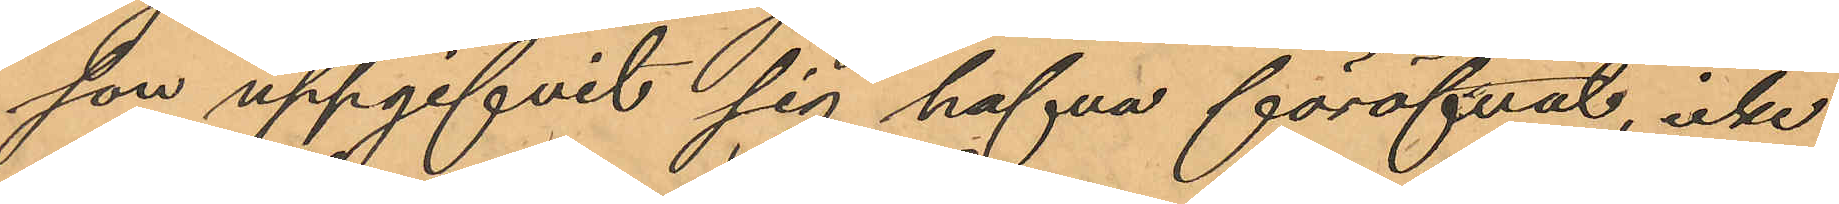son uppgifvit sig hafva föröfvat icke
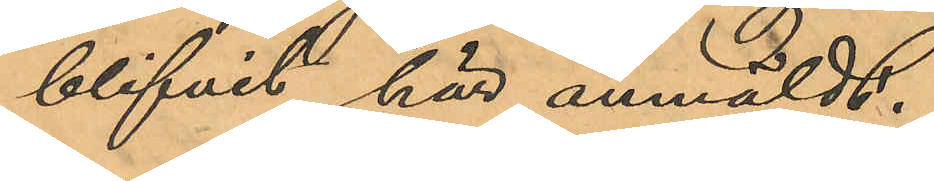blifvit här anmäldt:
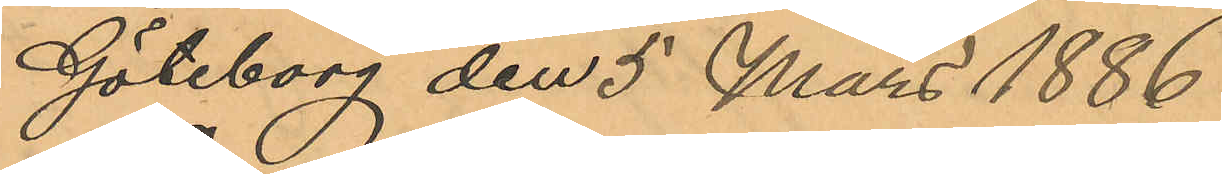Göteborg den 5 Mars 1886.
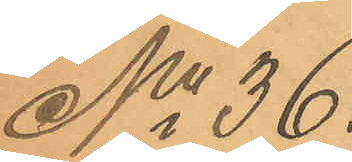No 36.
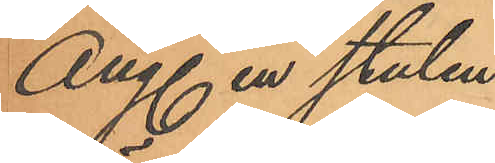Ang. en stulen
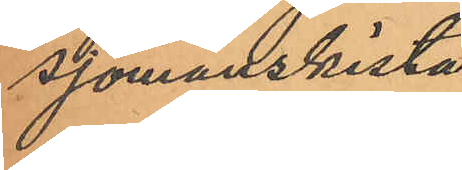sjömanskista
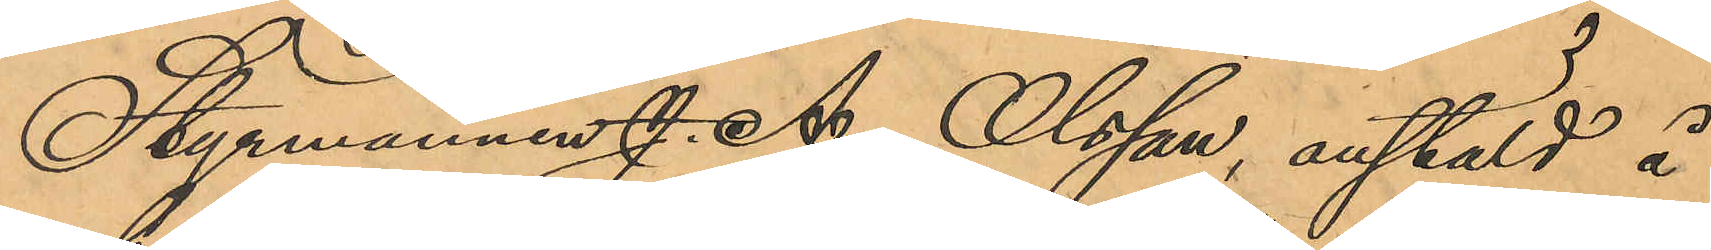Styrmannen J. A. Olsson, anstäld å
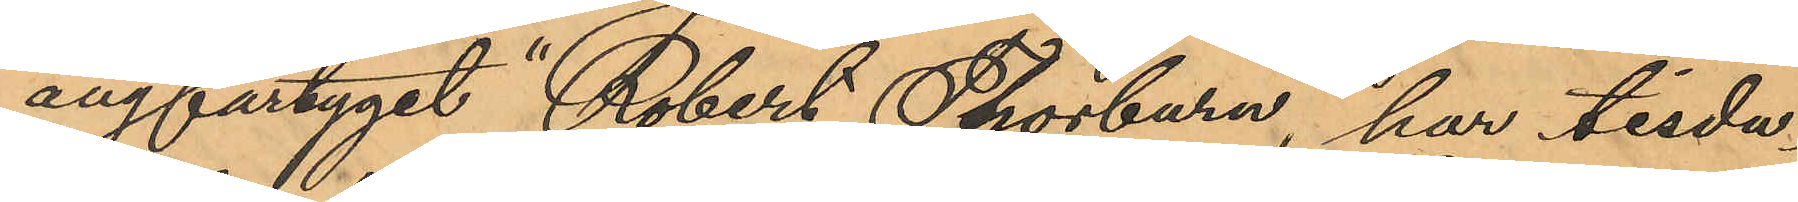ångfartyget "Robert Thorburn", har tisda¬
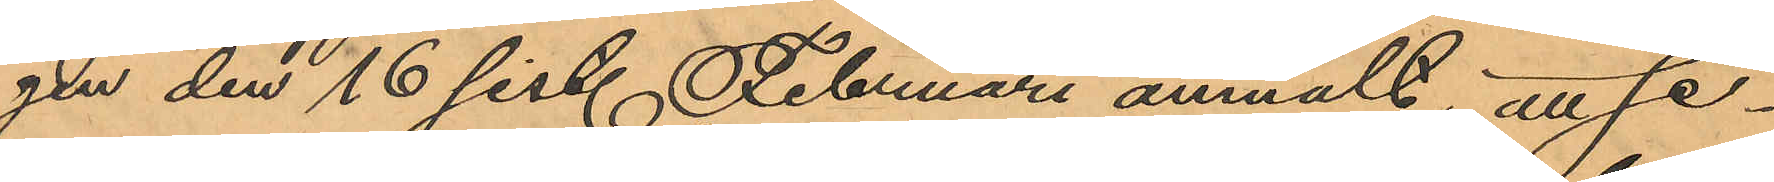gen den 16 sist. Februari anmält, att se¬
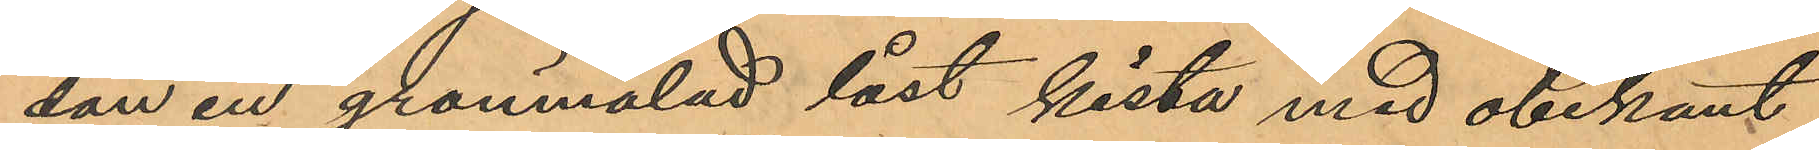dan en grönmålad låst kista med obekant
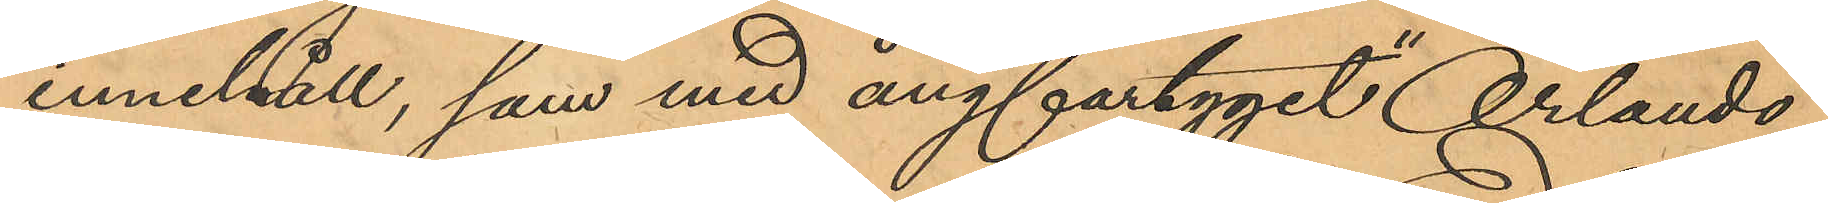innehåll, som med ångfartyget "Orlando"
